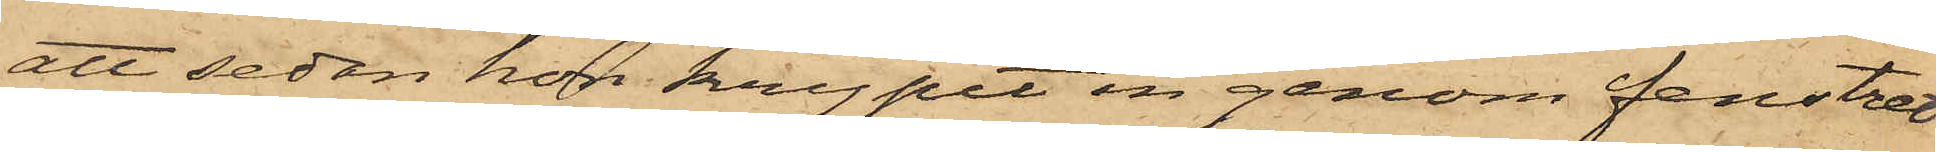att sedan hon krypit in genom fenstret
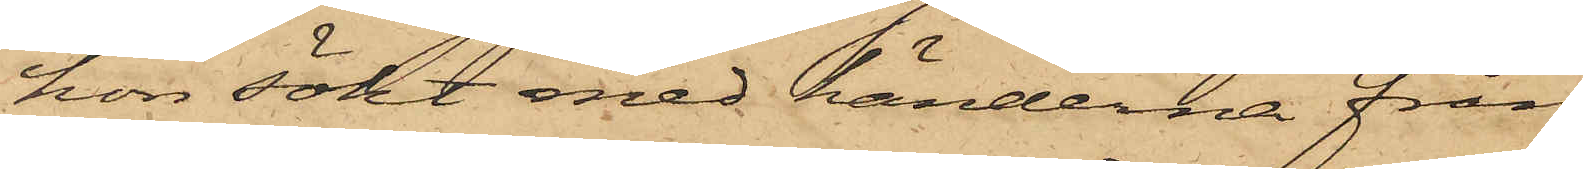hon sökt med händerna från¬
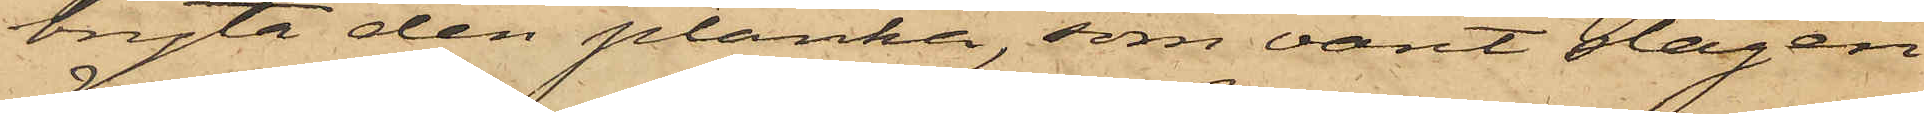bryta den planka, som varit slagen
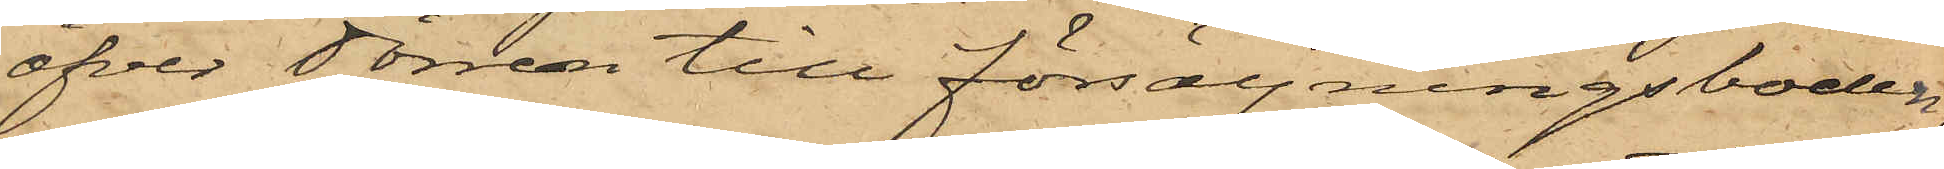öfver dörren till försäljningsboden,
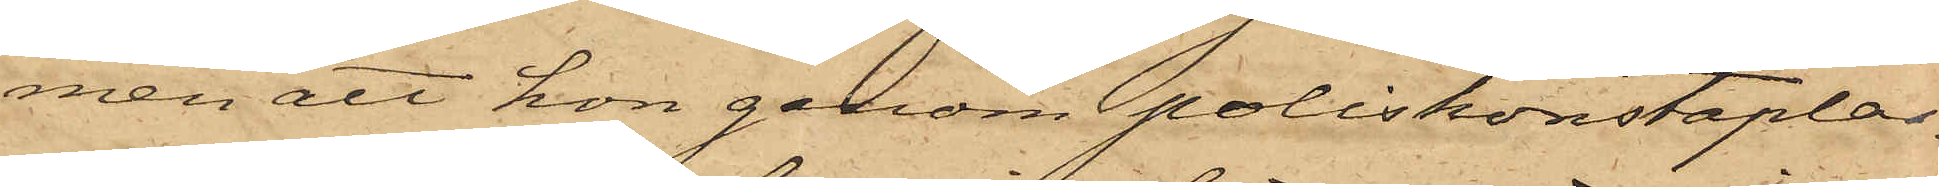men att hon genom poliskonstaplar¬
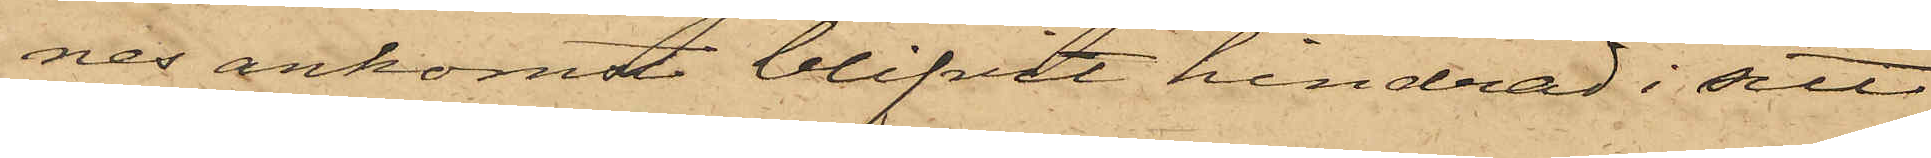nes ankomst blifvit hindrad i sitt
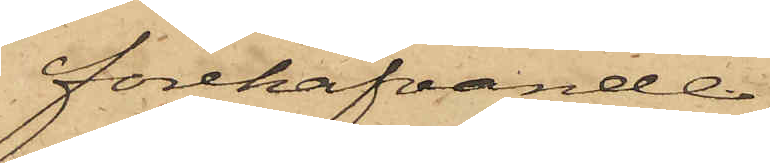förehafvande.
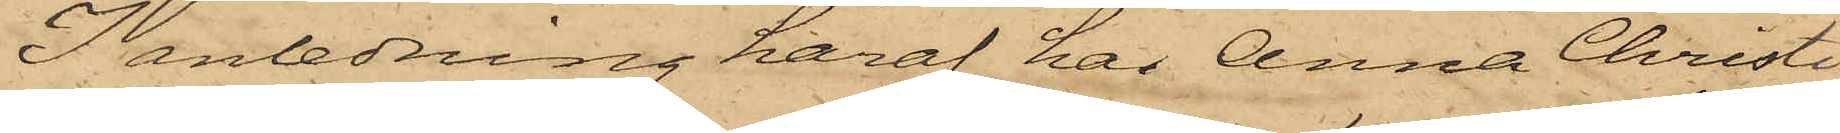I anledning häraf har Anna Christi¬
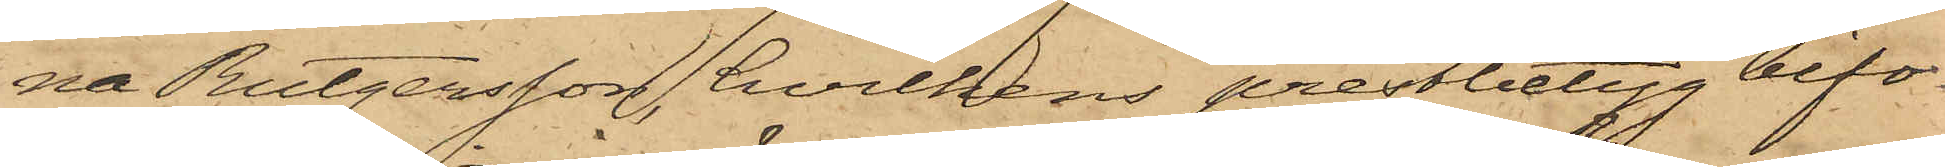na Rutgersson, hvilkens prestbetyg bifo¬
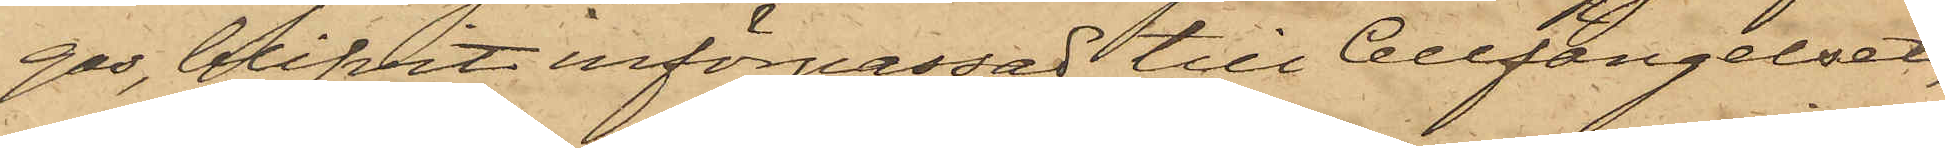gas, blifvit införpassad till Cellfängelset,
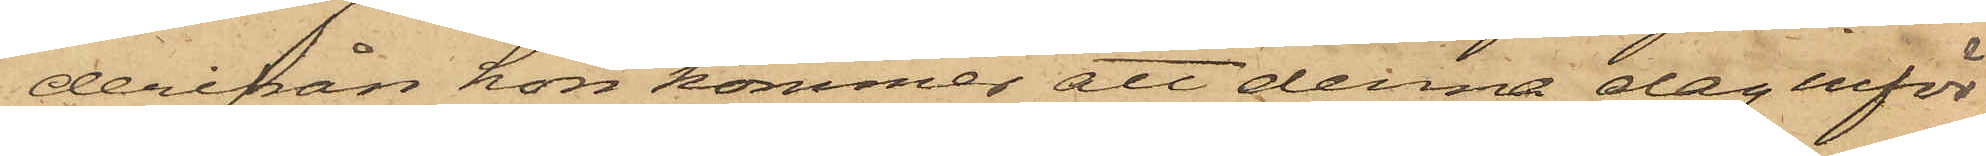derifrån hon kommer att denna dag inför
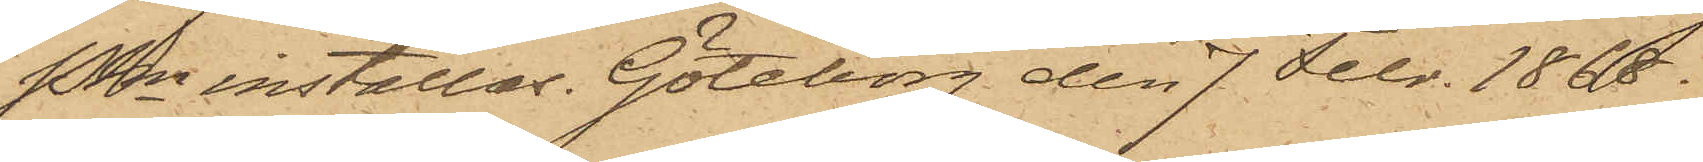PKn inställas. Göteborg den 7 Febr. 1868.
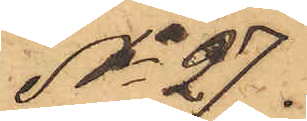No 27.
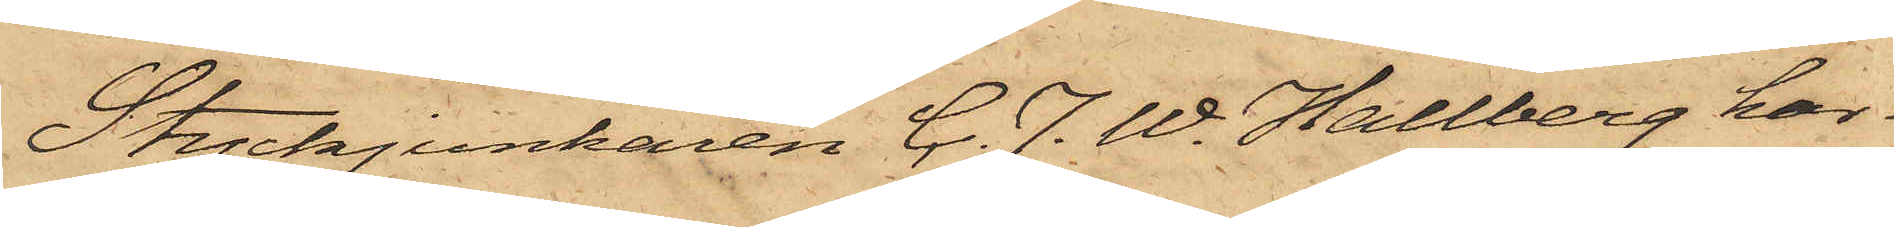Styckjunkaren C. J. W. Hallberg har
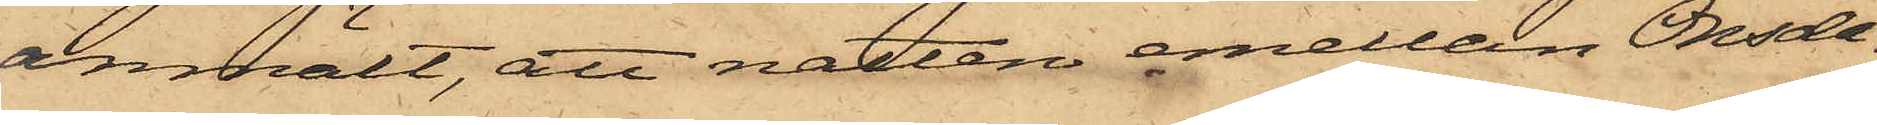anmält, att natten emellan Onsda¬
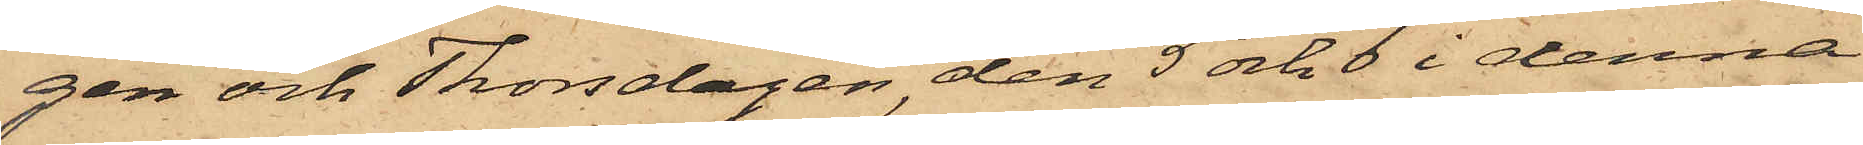gen och Thorsdagen, den 5 och 6 i denna
